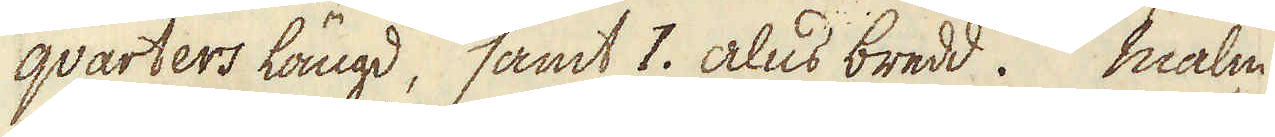qvarters längd, samt 1. alns bredd. Malm
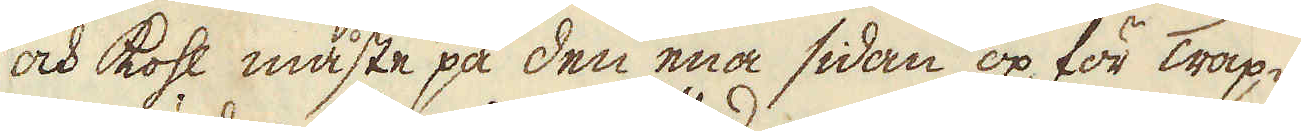och kohl måste på den ena sidan op för Trap-
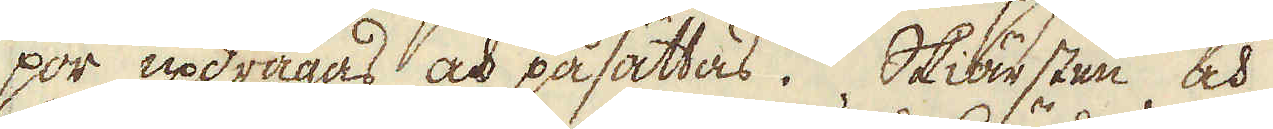por updragas och påsättas. Skiärsten och
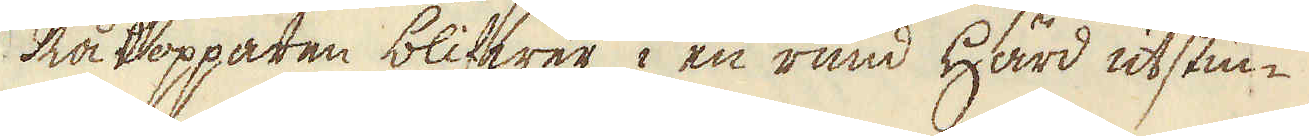Rå kopparen blifwer i en rund Härd utstuc-
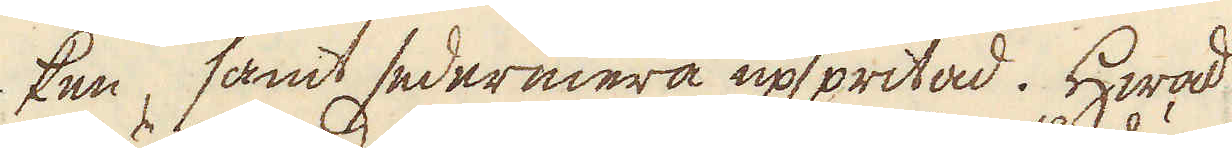ken, samt sedermera upspritad. Hwad
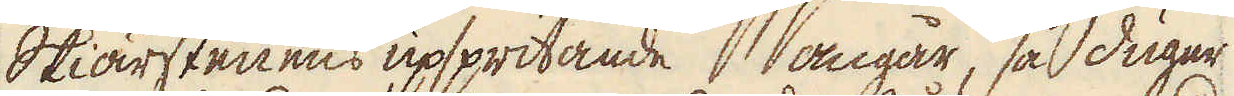Skiärstenens upspritande angår, så duger
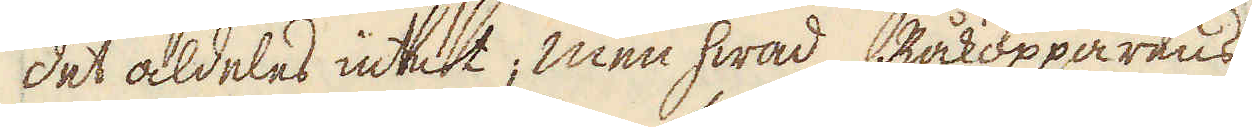det aldeles intet; men hwad Råkopparens
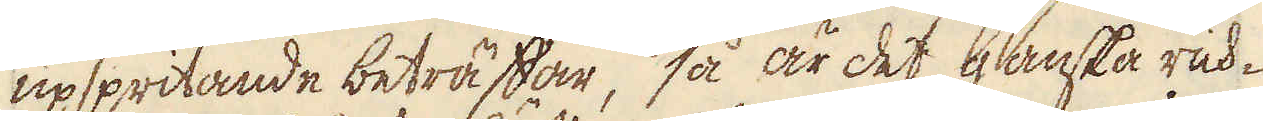upspritande beträffar, så är det ganska rich-
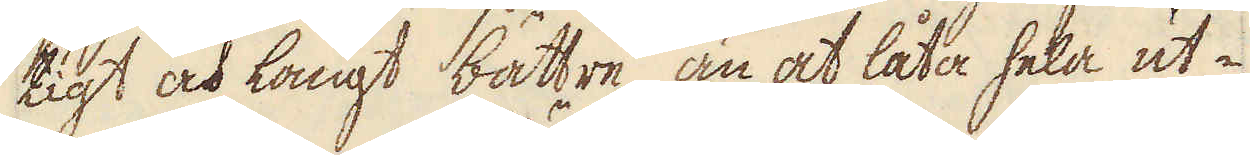tigt och långt bättre, än at låta hela ut-
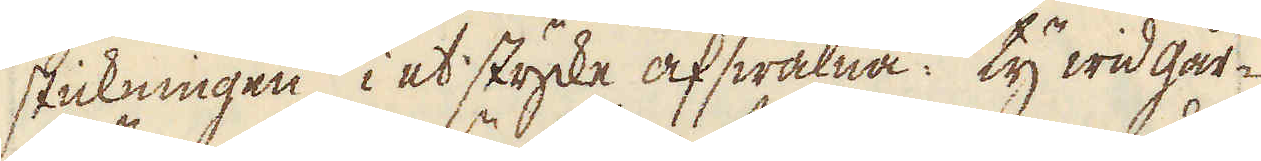stickningen, i et stycke afswalna: ty wid går-
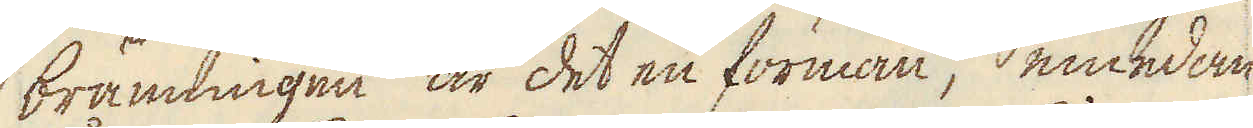bränningen är det en förmån, emedan
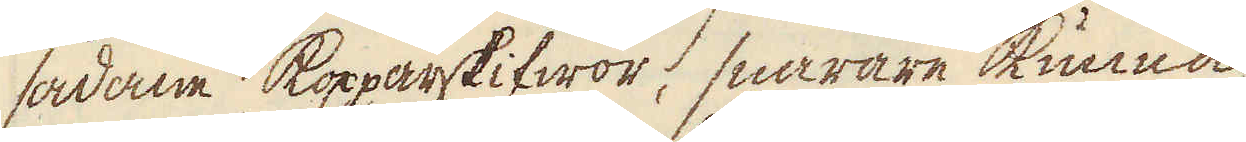sådane kopparskifwor, snarare kunna
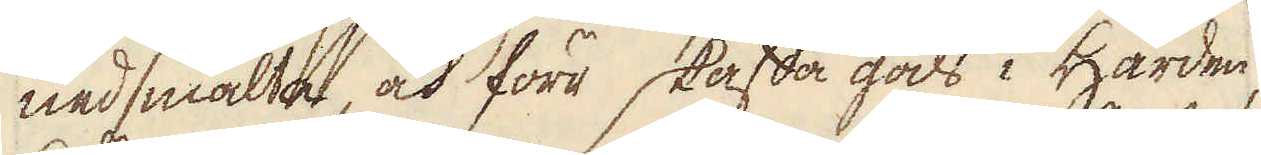nedsmälta, och förr skaffa gods i Härden,
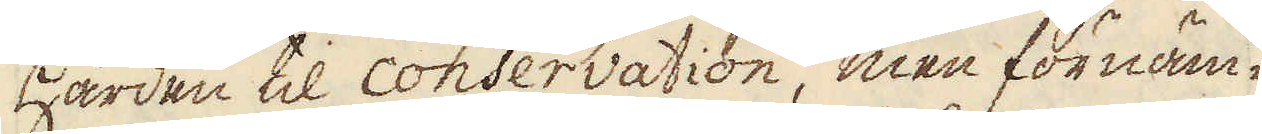Härden til conservation, men förnäm-
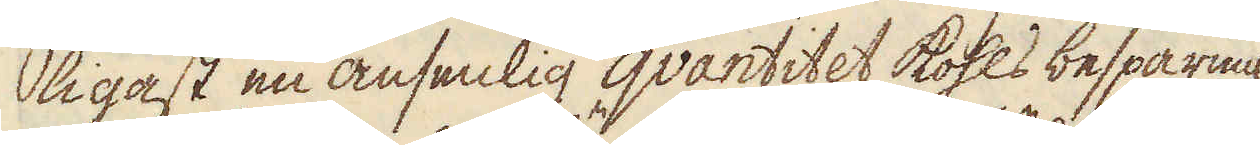ligast en ansenlig qvantitet kohls besparing.
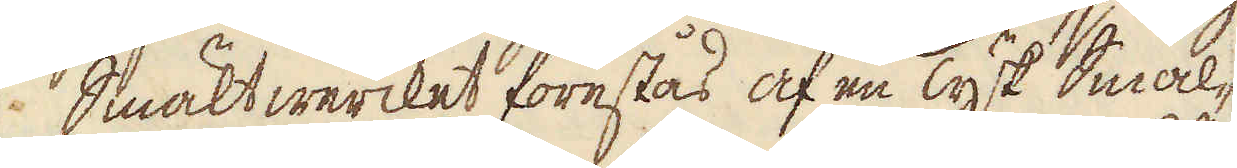Smältwercket förestås af en Tysk Smäl-
